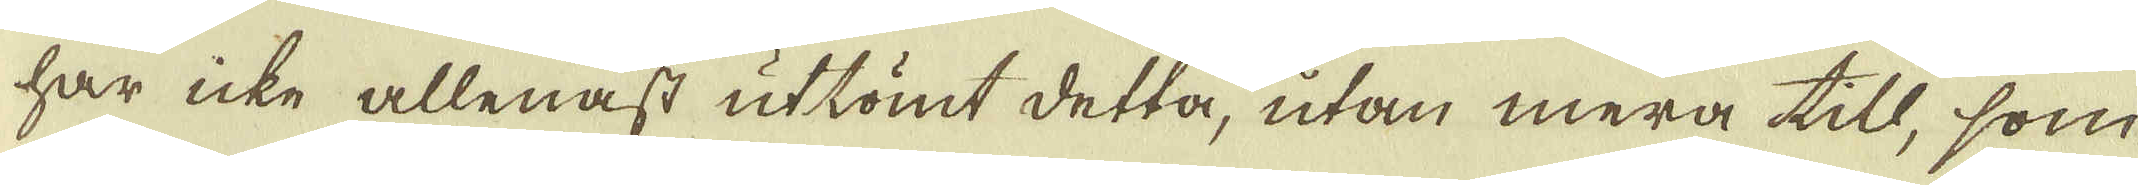har icke allenast uttömt detta, utan mera till, som
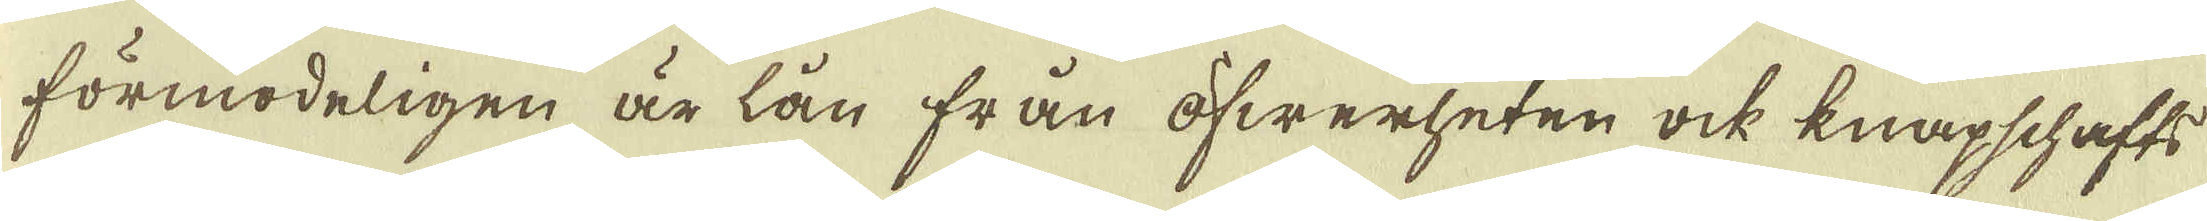förmodeligen är lån från öfwerheten ock knapschafts
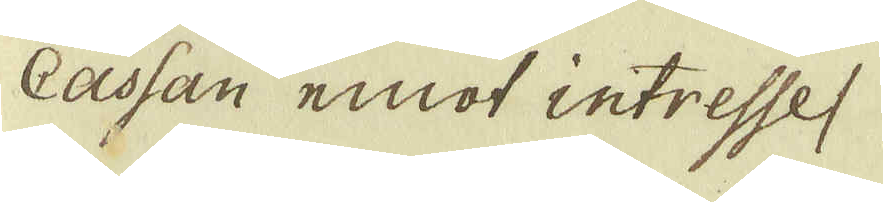Cassan emot intresse (
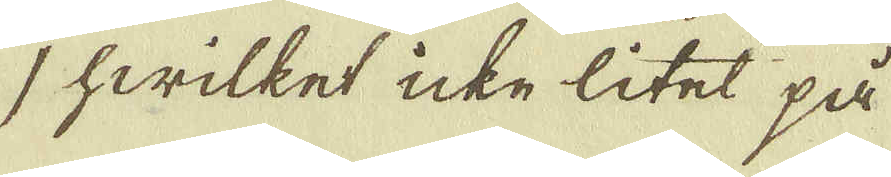) hwilket icke litet på
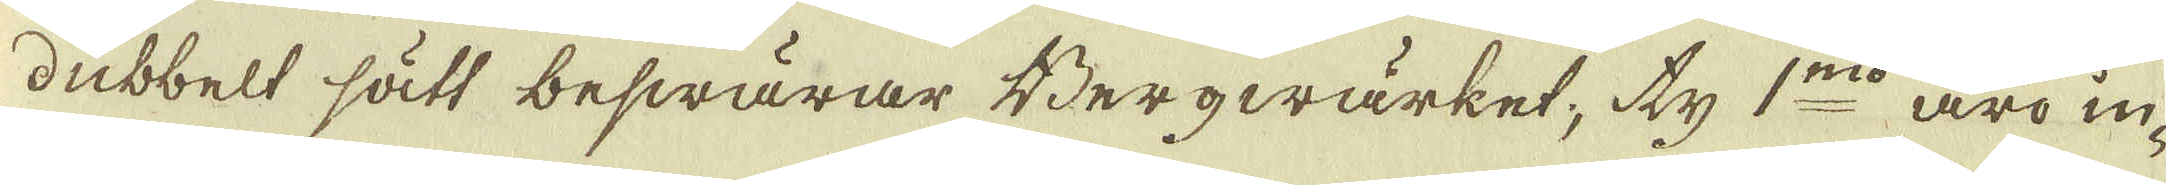dubbelt sätt beswärar Bergwärket; ty 1:mo äro in-
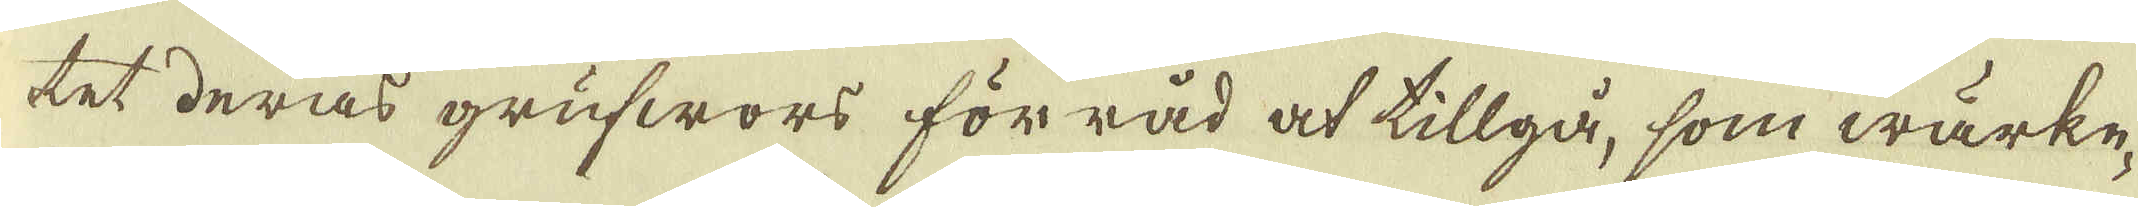tet deras grufwors förråd at tillgå, som wärke-
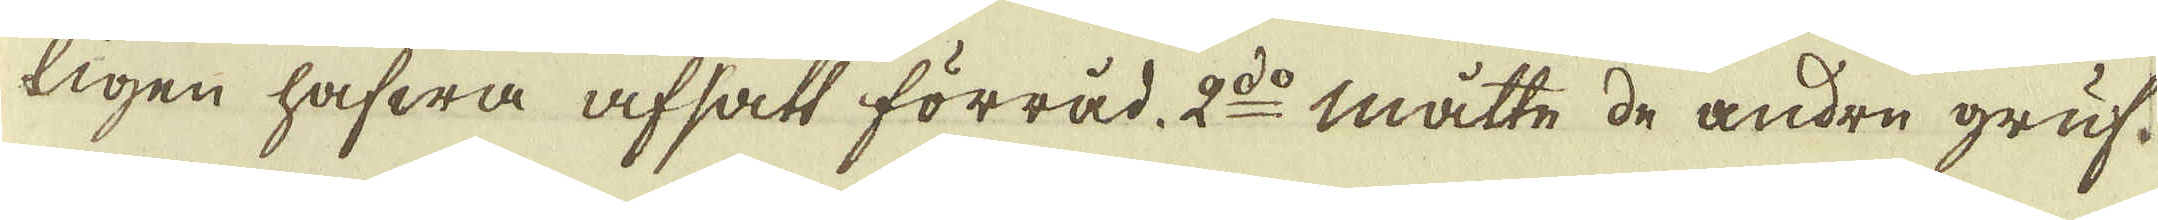ligen hafwa afsatt förråd. 2:do måtte de andre gruf-
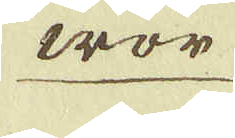wor
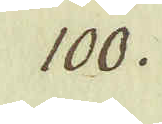100.
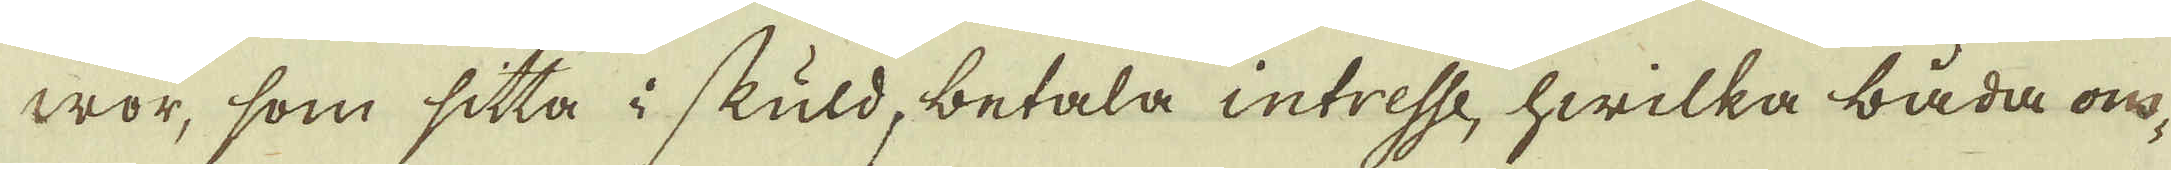wor, som sitta i skuld, betala intresse, hwilka båda om-
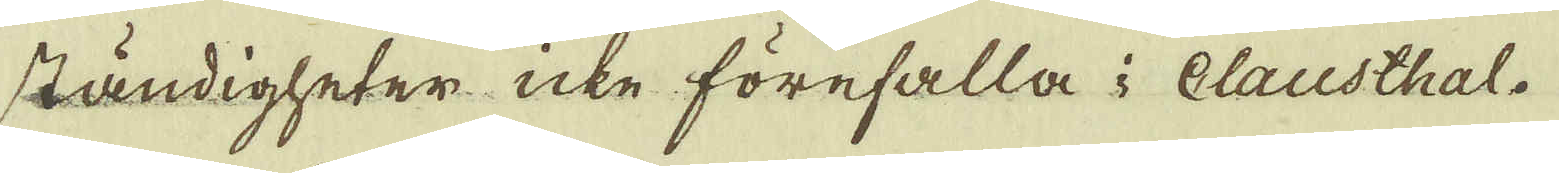ständigheter icke förefalla i Clausthal.
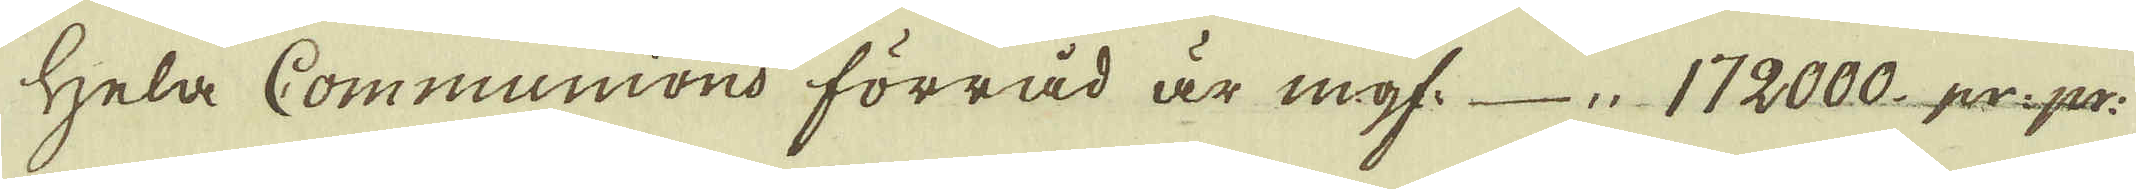Hela Communions förråd är mgf. 172000 pr. pr:
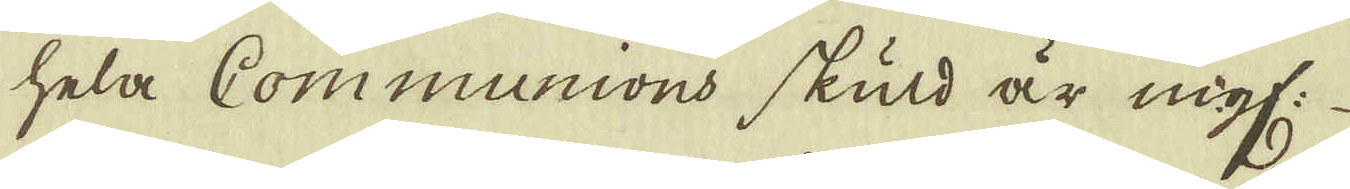Hela Communions skuld är mgf:
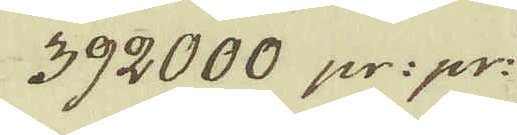392000 pr: pr:
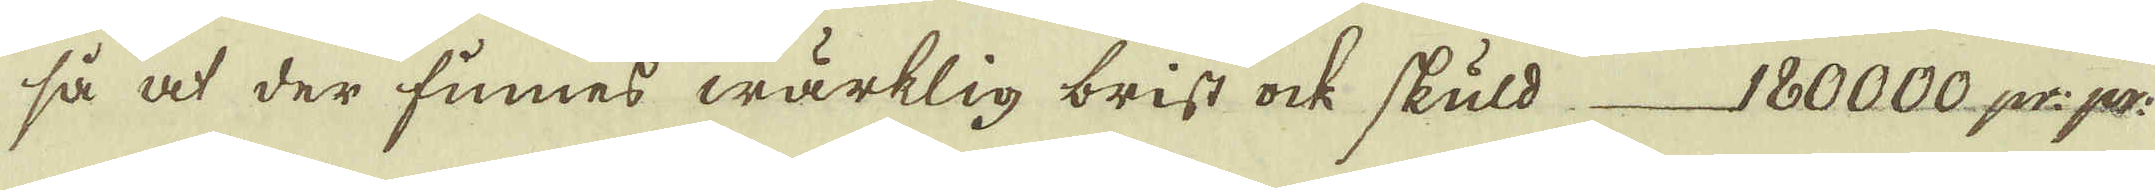så at der finnes wärklig brist ock skuld 180000 pr: pr
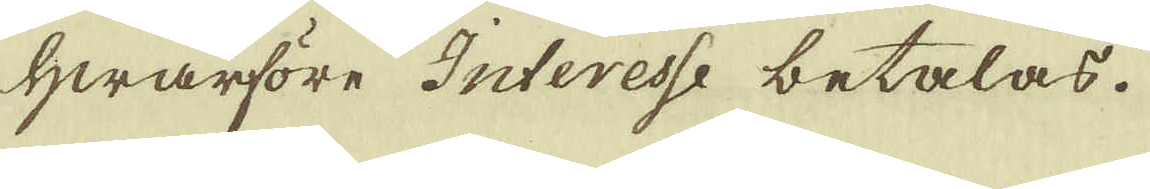Hwarföre Interesse betalas.
